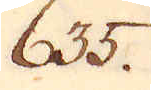635.
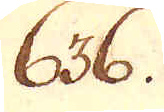636.
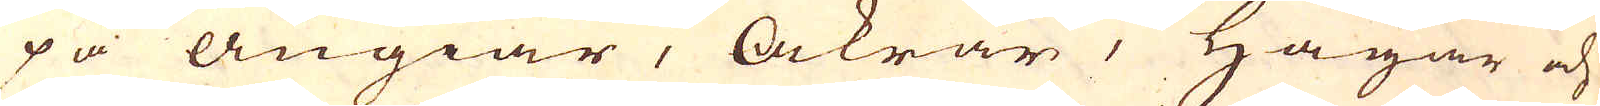på Ängiar, Åkrar, Hagar och
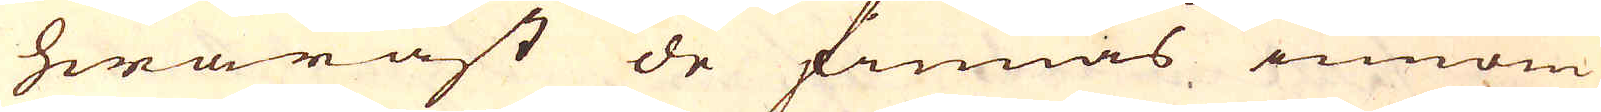hwaräst de finnas innom
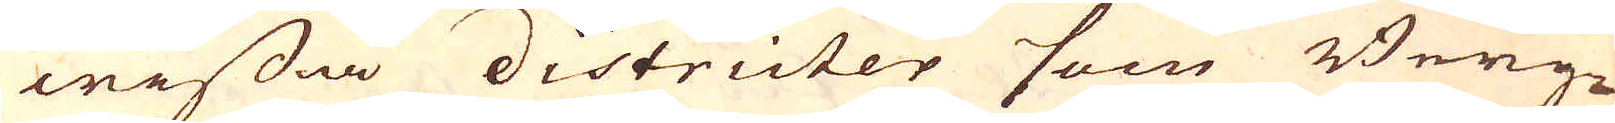wissa districter som Berg-
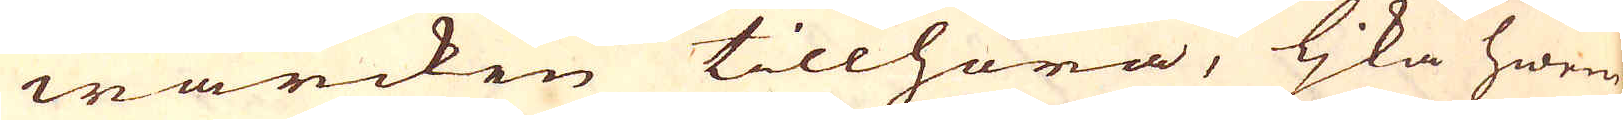wärcken tillhöra, ljka hwem
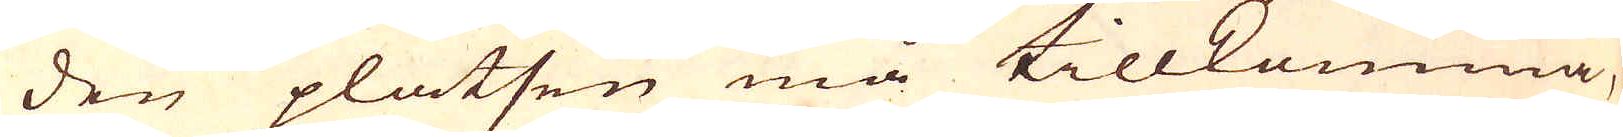den platsen må tillkomma,
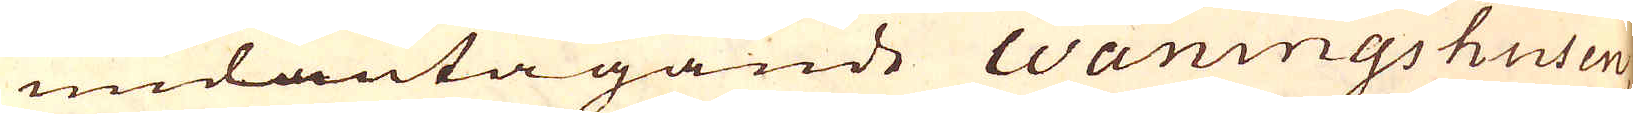undantagande waningshusen,
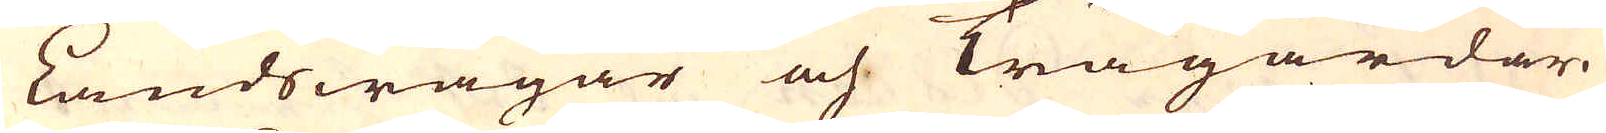Landswägar och Trägårdar.
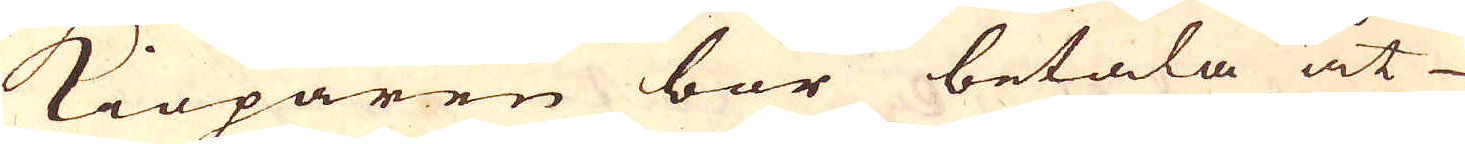Kiöparen bör betala åt
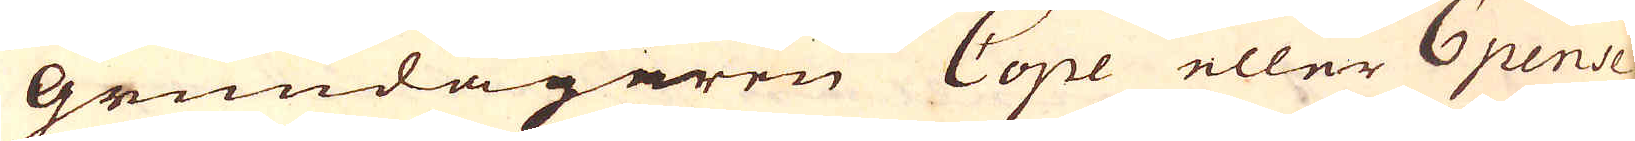Grundägaren Cope eller 6 pense
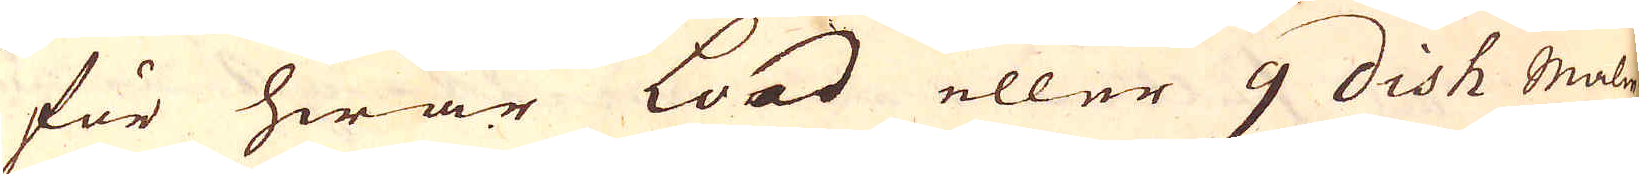för hwar Load eller 9 dish malm.
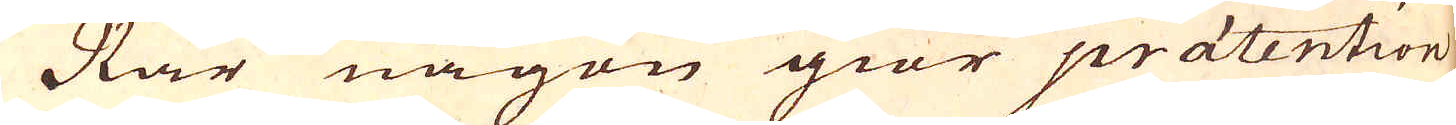När någon giör praetention
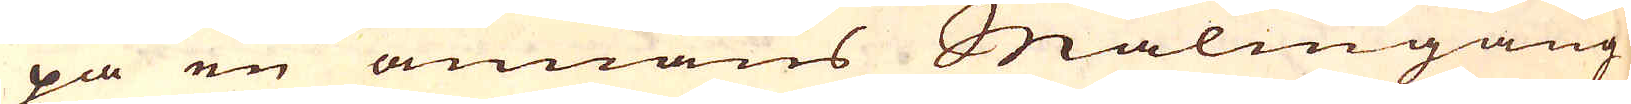på en annans Malmgång
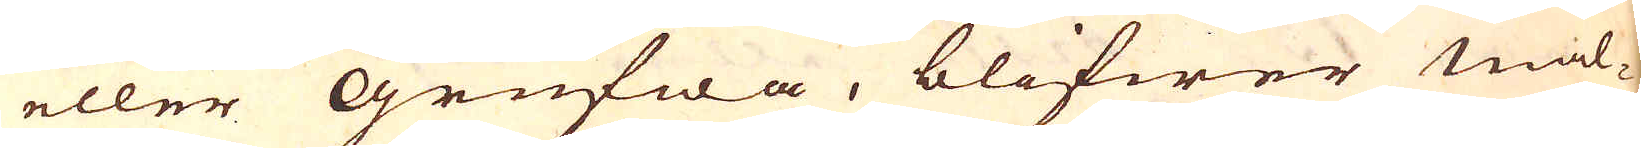eller Grufwa, blifwer mal-
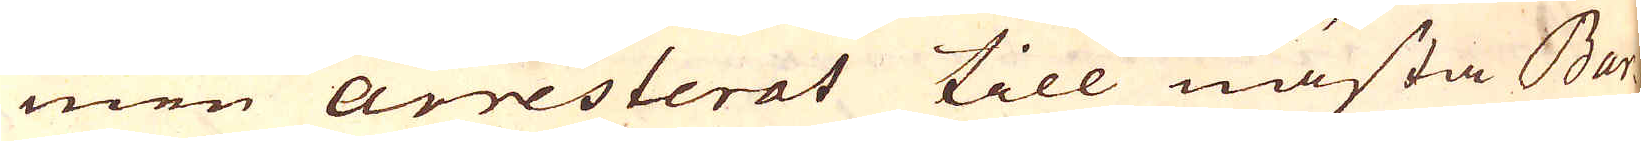men arresterat till nästa Bar-
